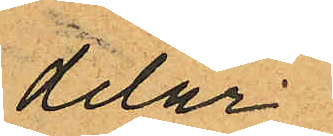delar
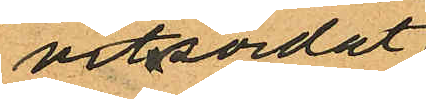vitsordat
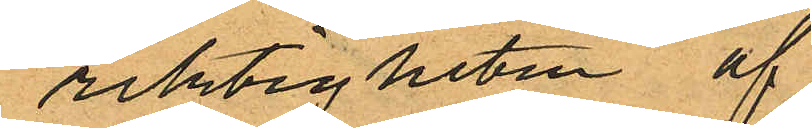riktigheten af
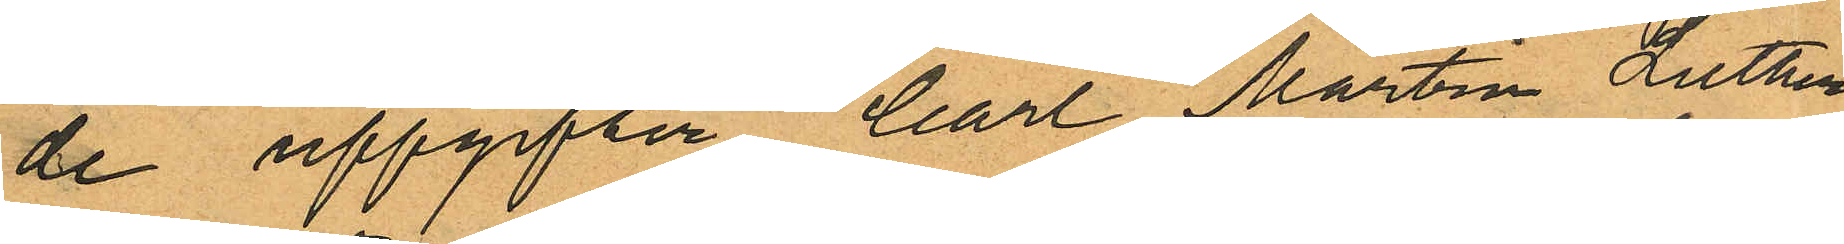de uppgifter Carl Martin Luther
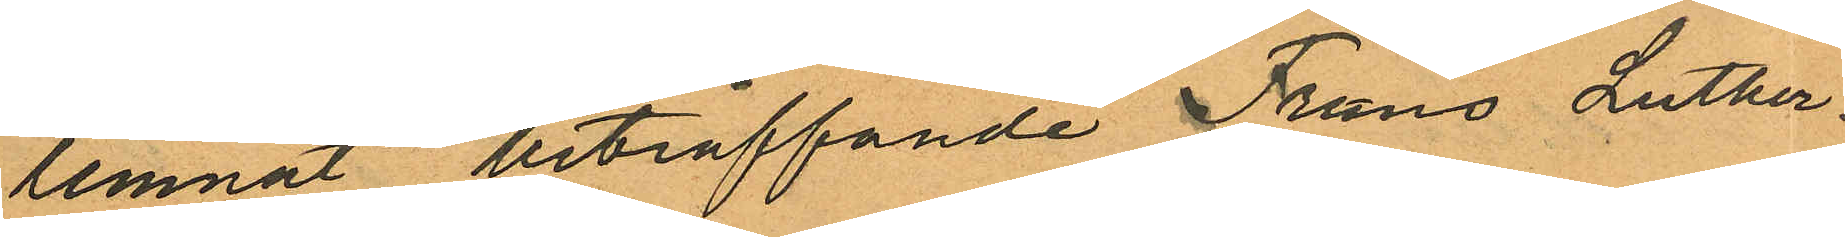lemnat beträffande Frans Luther.
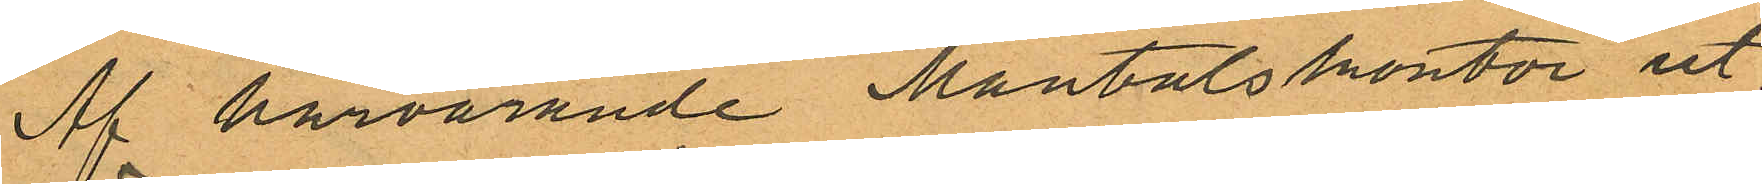Af härvarande Mantalskontor ut¬
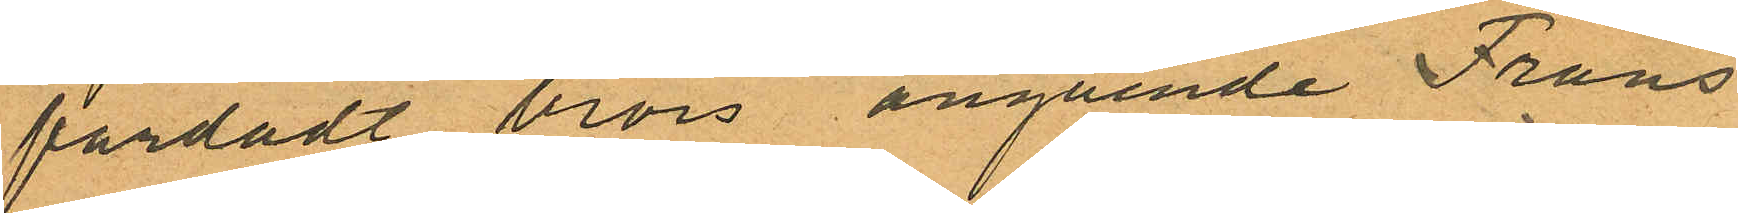färdadt bevis angående Frans
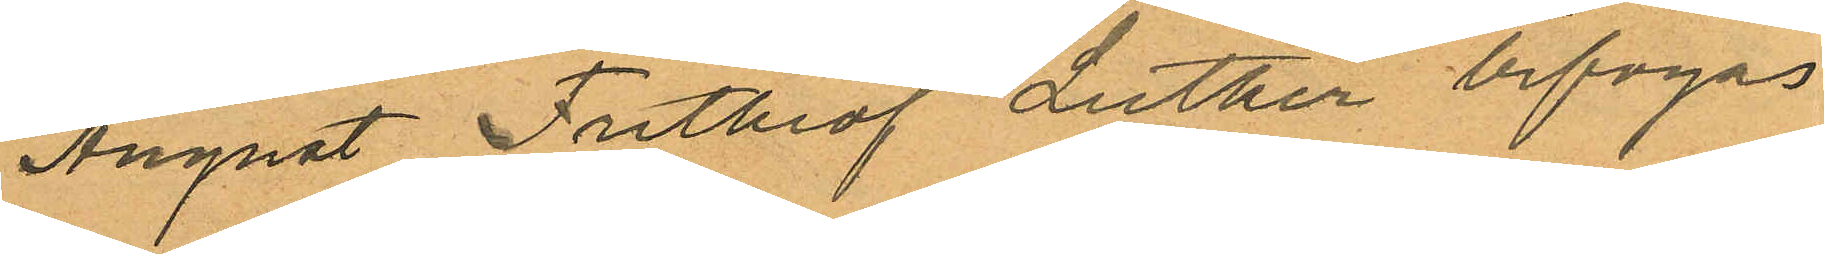August Frithiof Luther bifogas
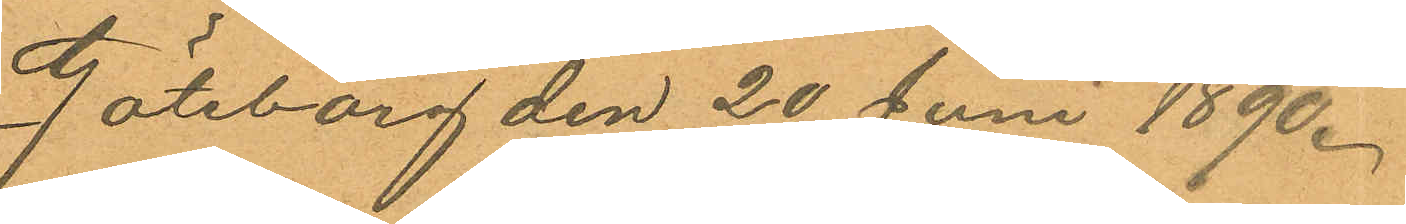Göteborg den 20 Juni 1890.
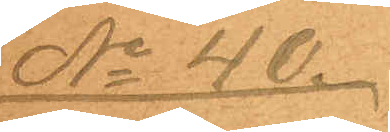No 40.
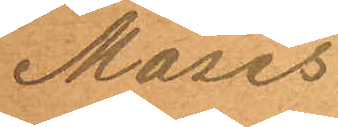Moses
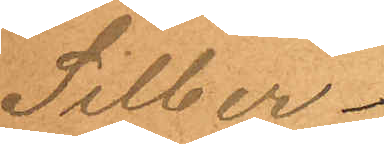Silber¬
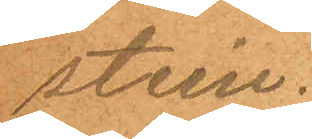stein.
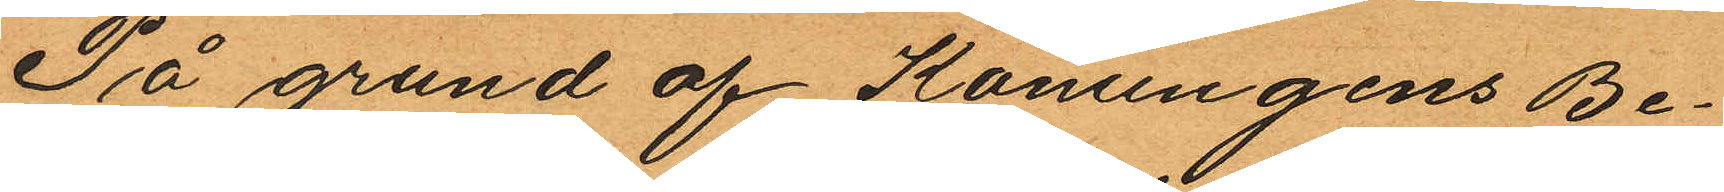På grund af Konungens Be¬
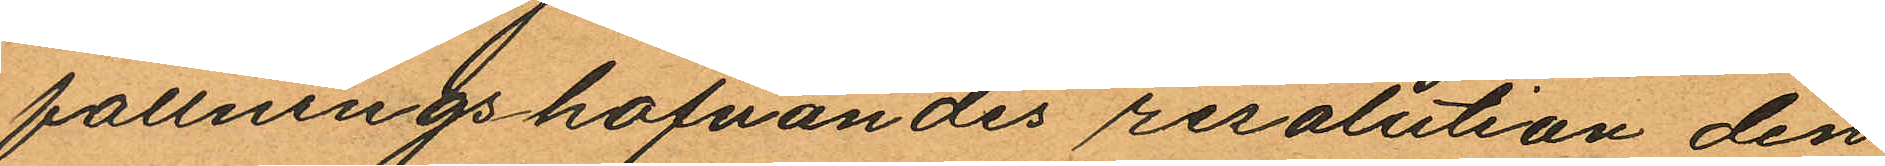fallningshafvandes resolution den
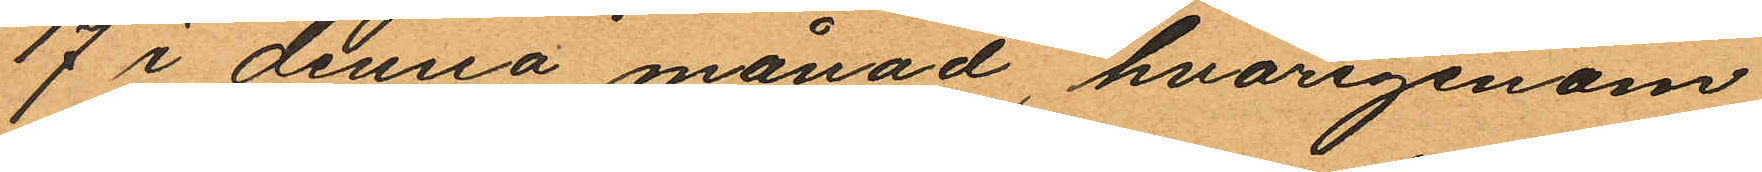17 i denna månad, hvarigenom
